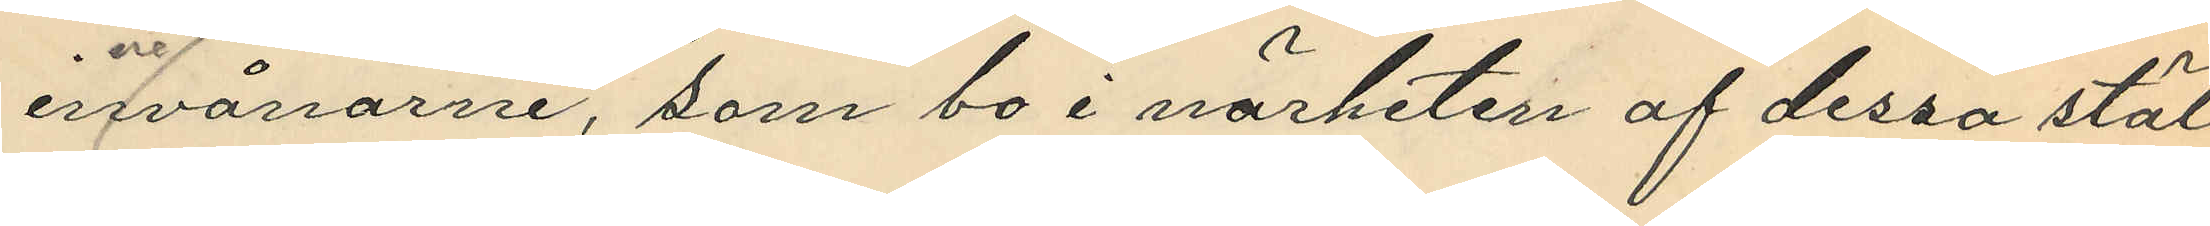innevånarne, som bo i närheten af dessa stäl¬
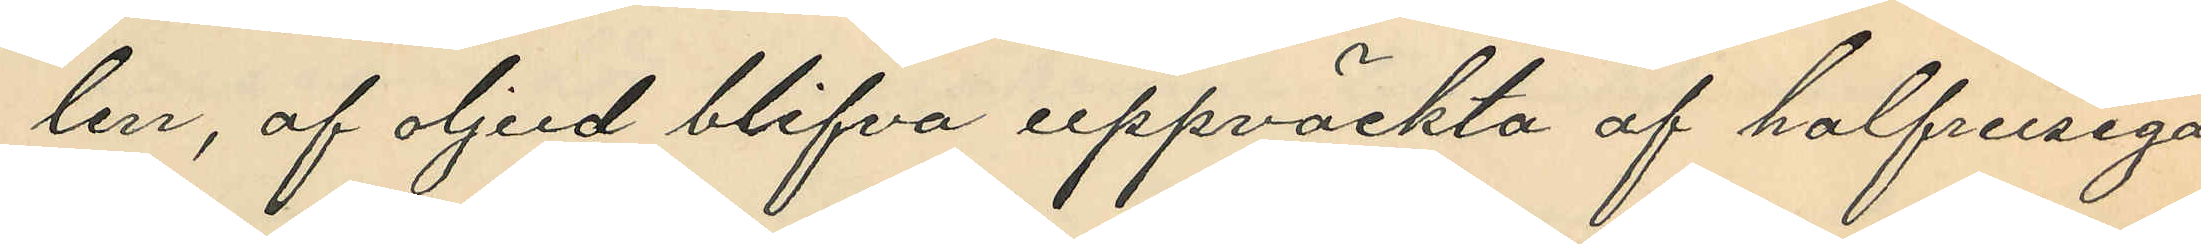len, af oljud blifva uppväckta af halfrusiga
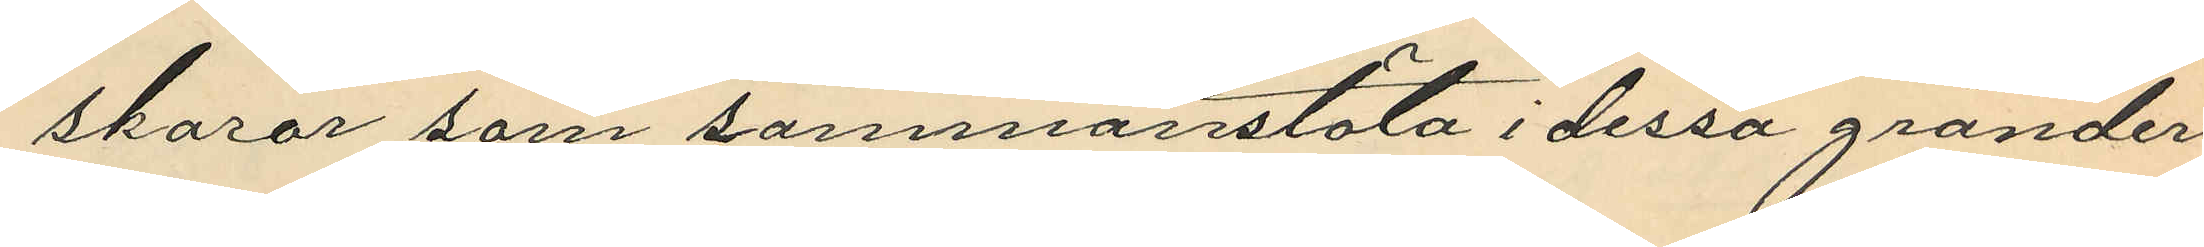skaror som sammanstöta i dessa gränder
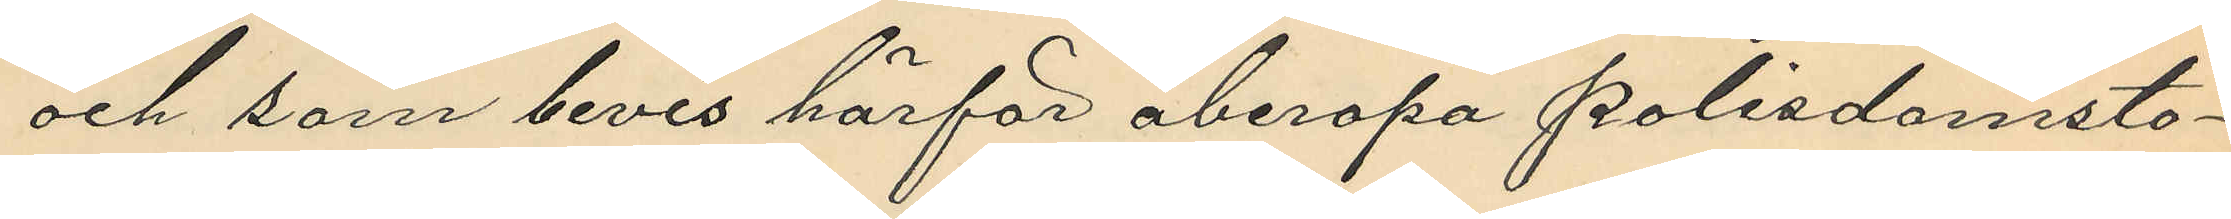och som bevis härför åberopa Polisdomsto¬
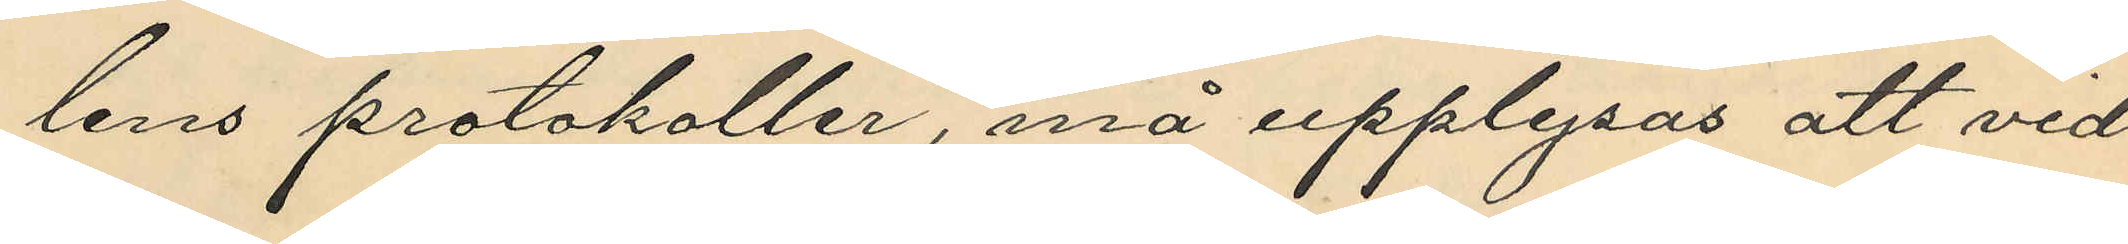lens protokoller, må upplysas att vid
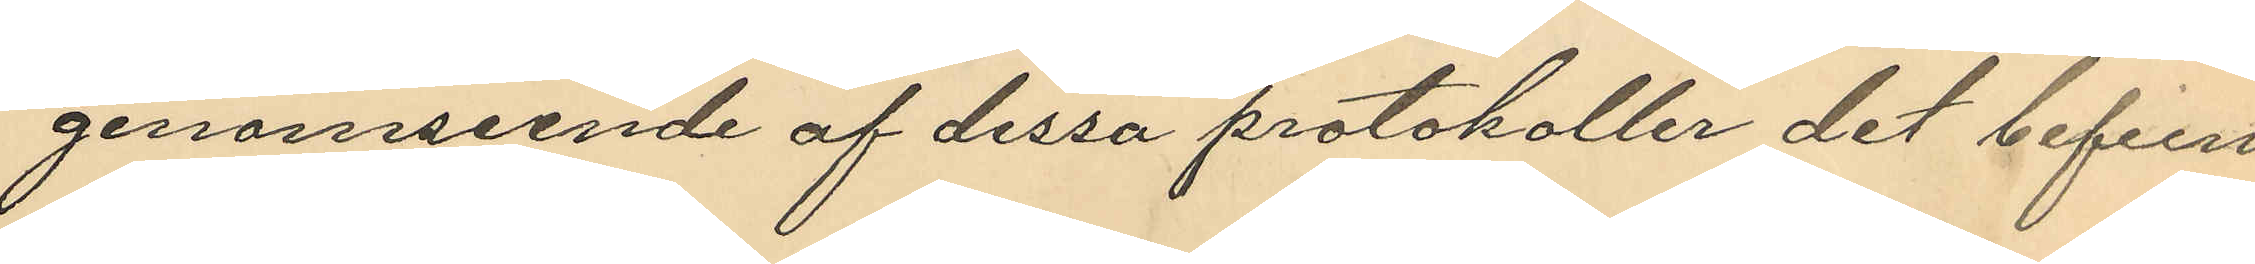genomseende af dessa protokoller det befun¬
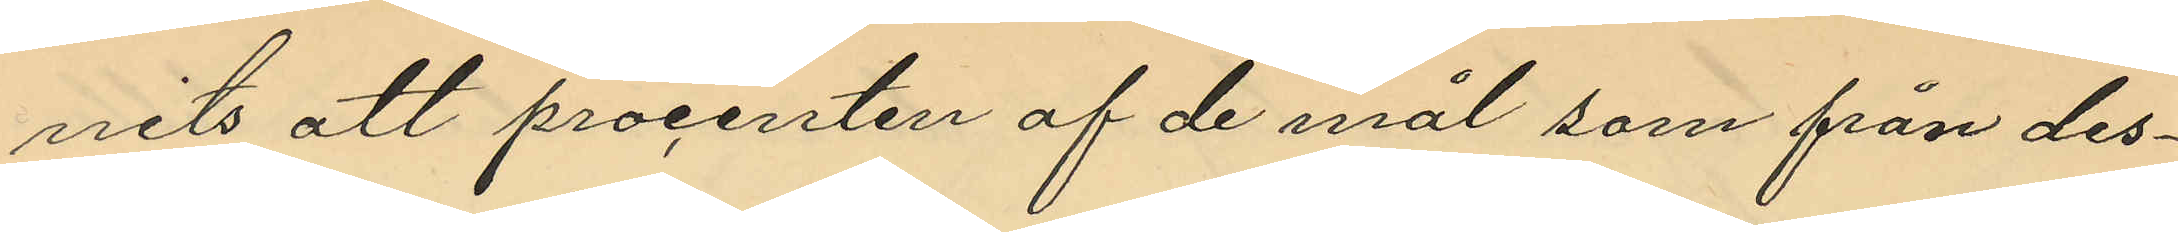nits att procenten af de mål som från des¬
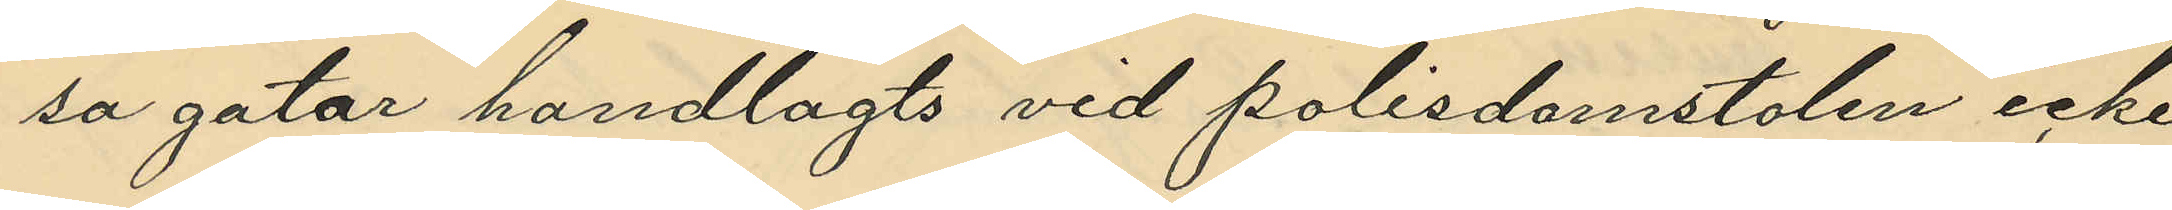sa gator handlagts vid polisdomstolen icke
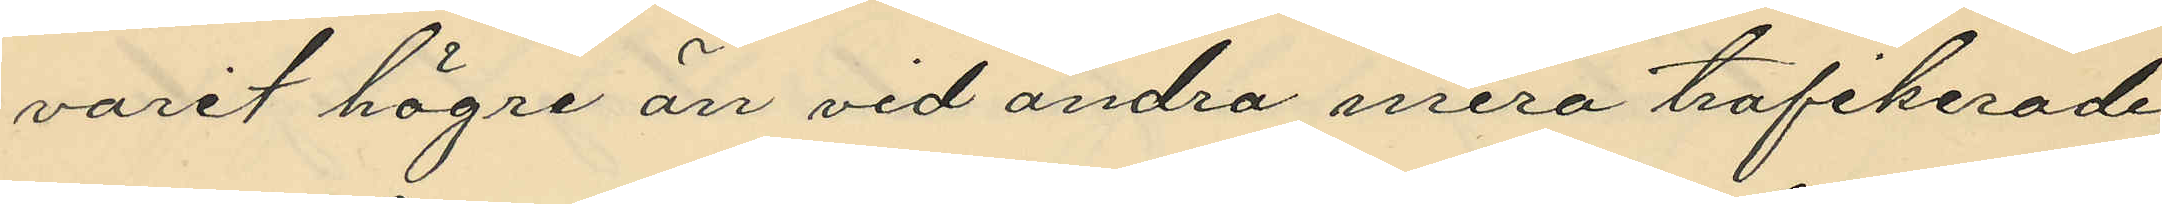varit högre än vid andra mera trafikerade
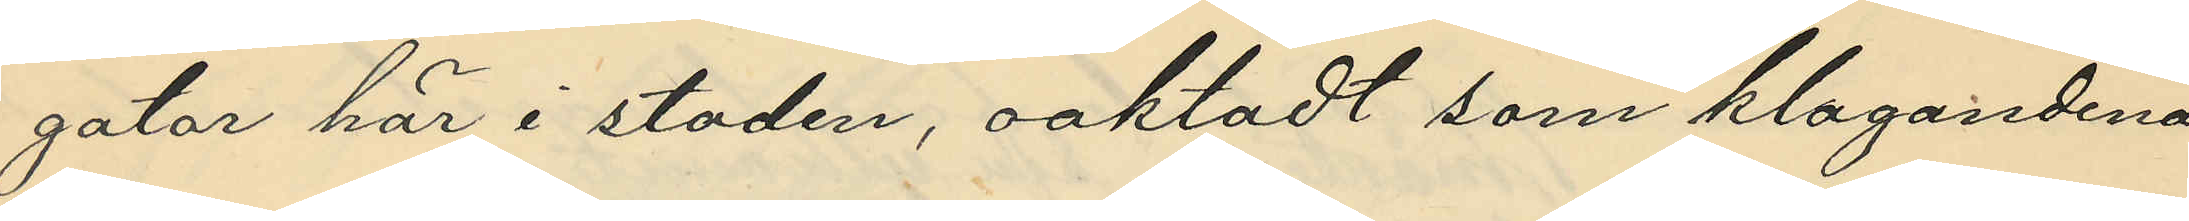gator här i staden, oaktadt som klagandena
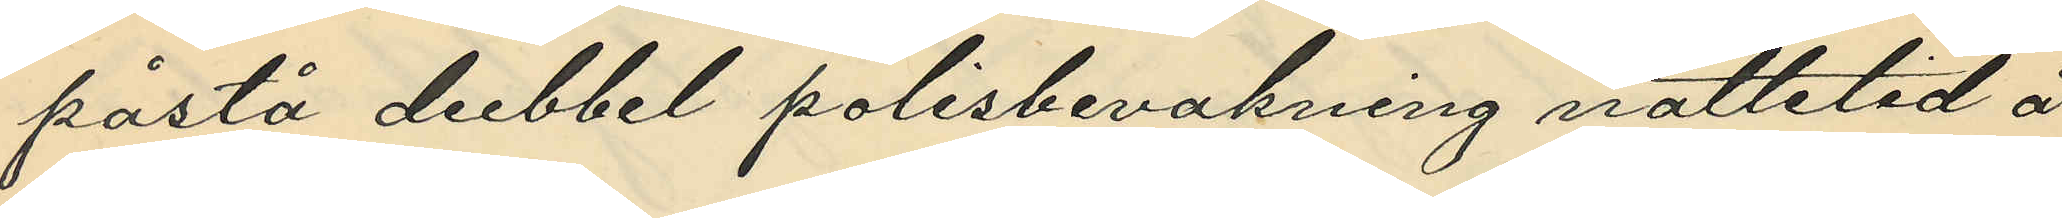påstå dubbel polisbevakning nattetid å
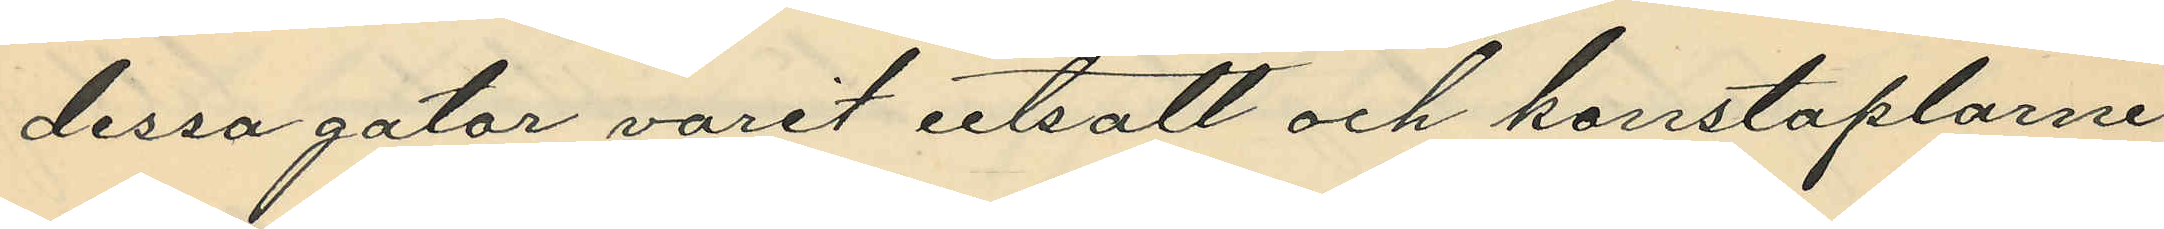dessa gator varit utsatt och konstaplarne
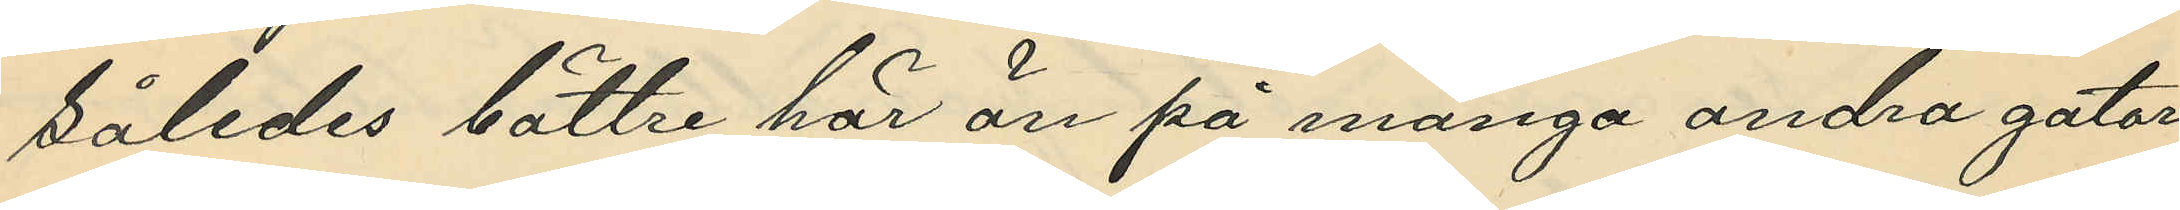således bättre här än på många andra gator
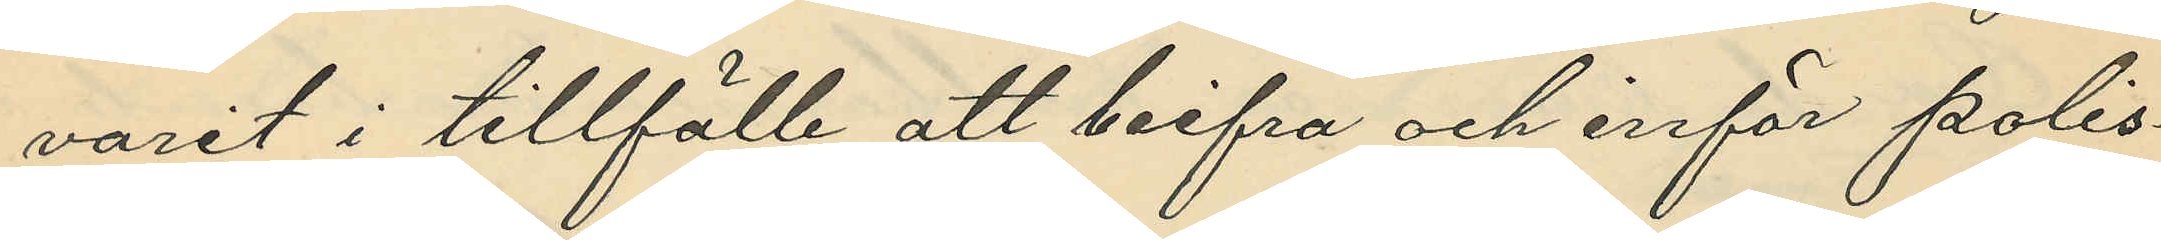varit i tillfälle att beifra och inför polis¬
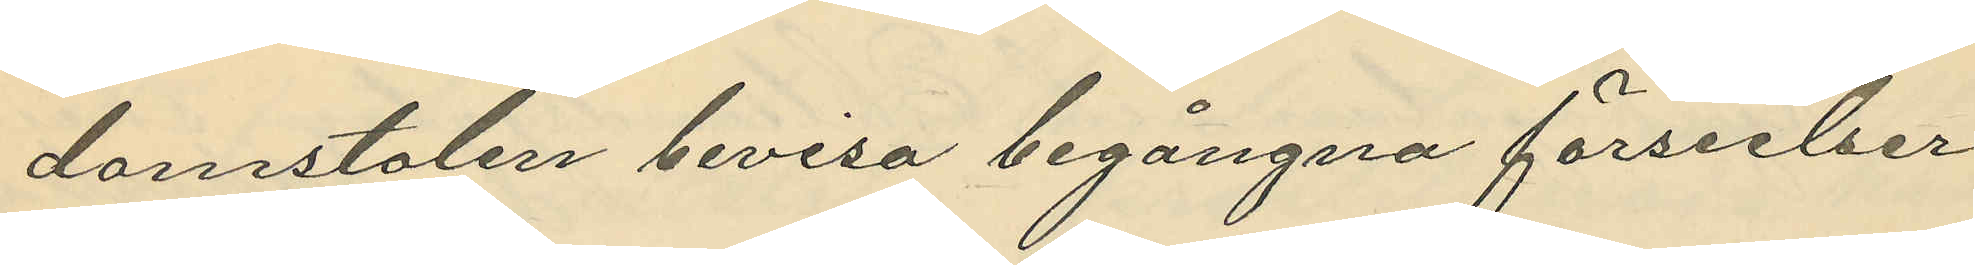domstolen bevisa begångna förseelser.
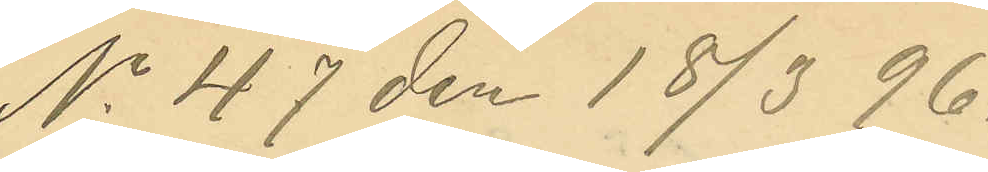No 47 den 18/3 96.
